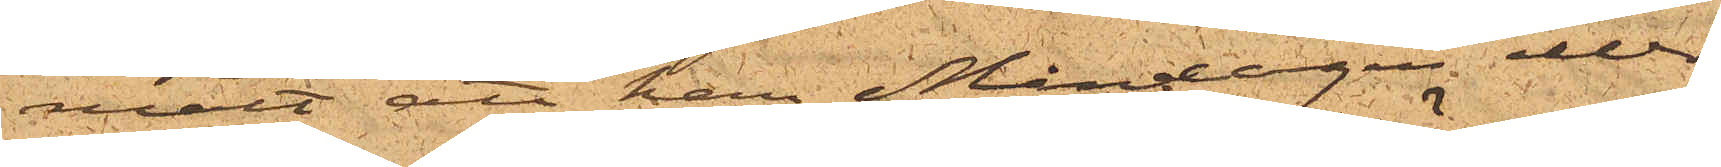mält att han Måndagen eller
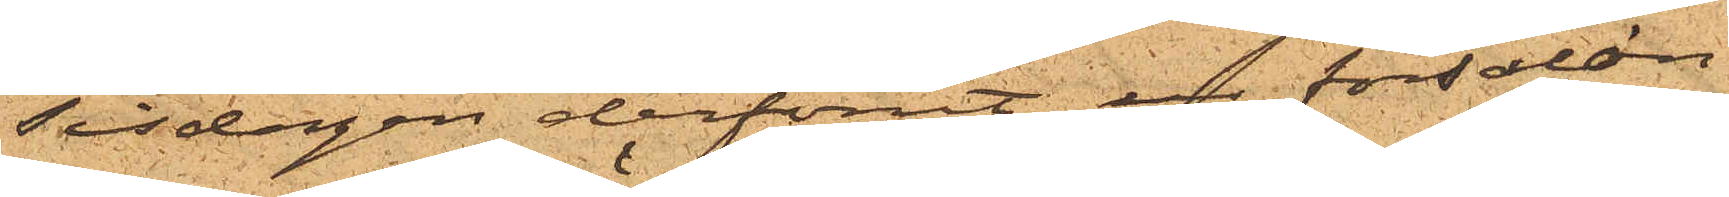Tisdagen derförut ur försalon¬
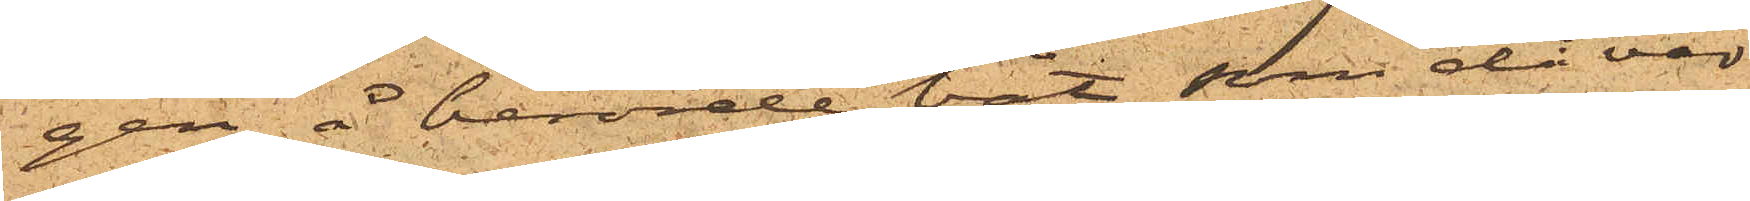gen å berörde båt, som då var
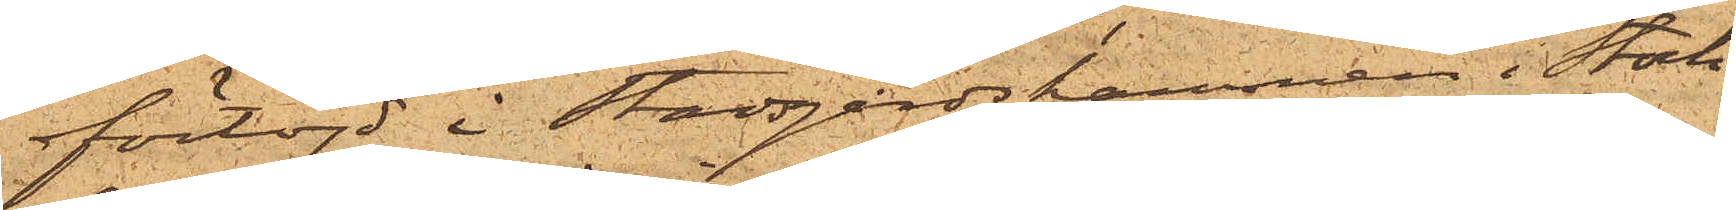förtöjd i Stadsgårdshamnen i Stock¬
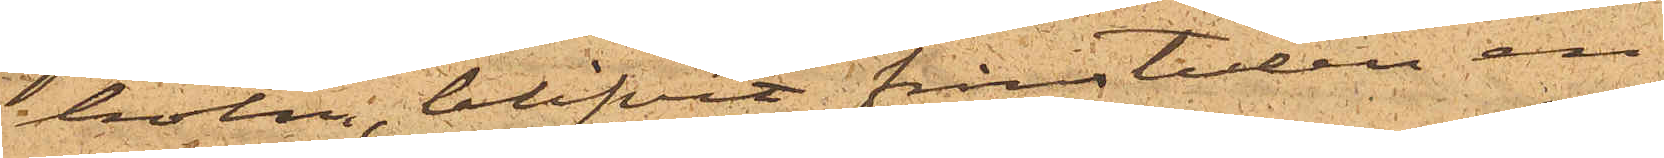holm, blifvit frånstulen en
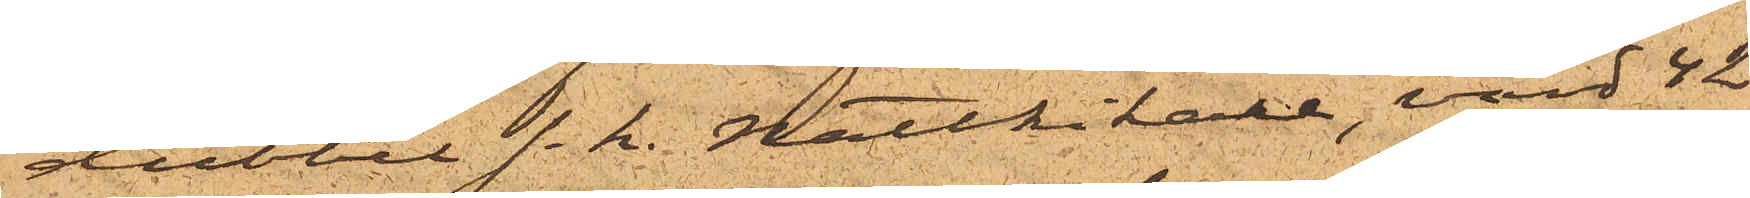dubbel  s.k. Nattkikare, värd 42
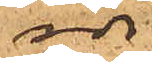rdr
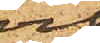och
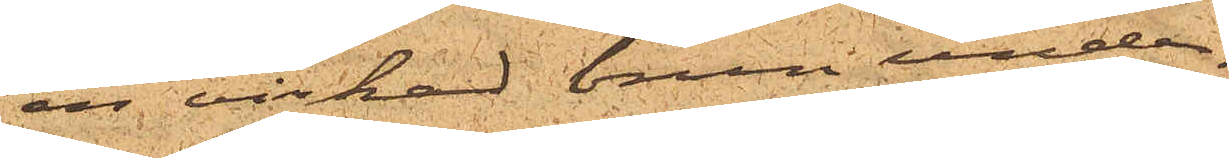en virkad brun under¬
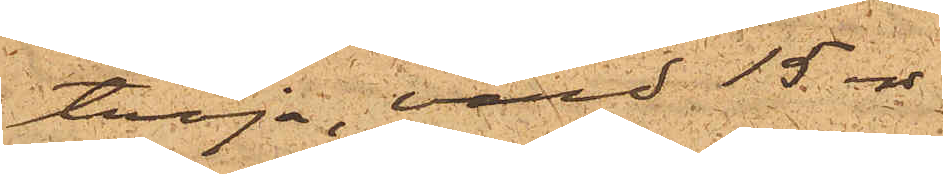tröja, värd 15 rdr.
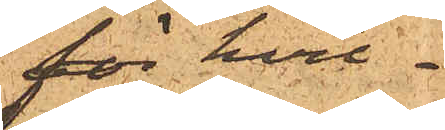för hvil¬
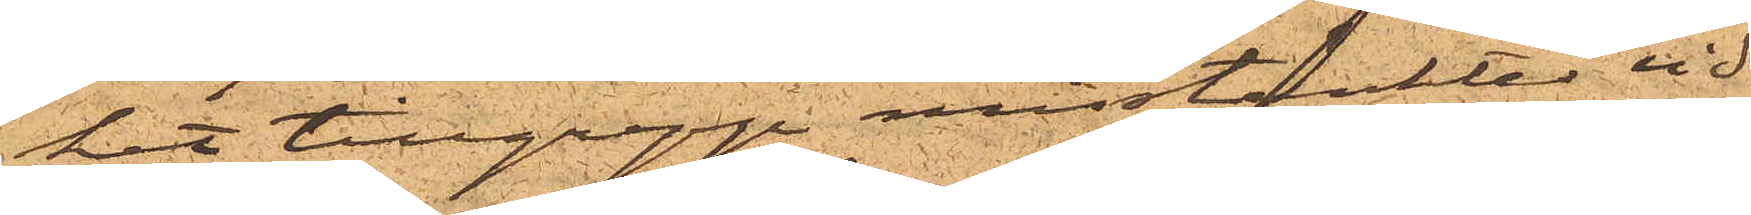het tillgrepp misstänktes vid
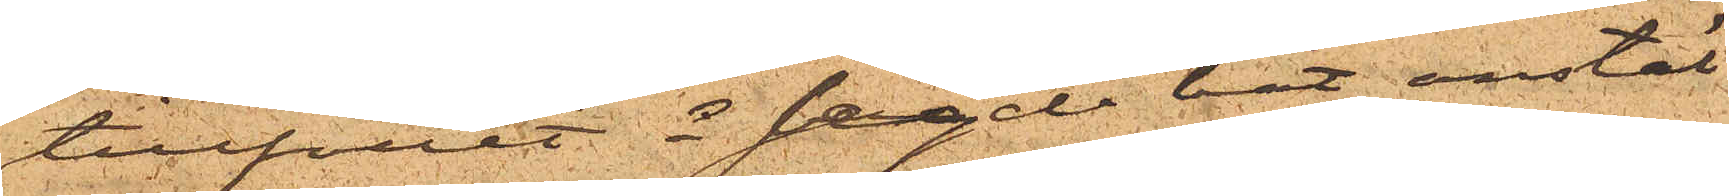tillfället å sagde båt anstäl¬
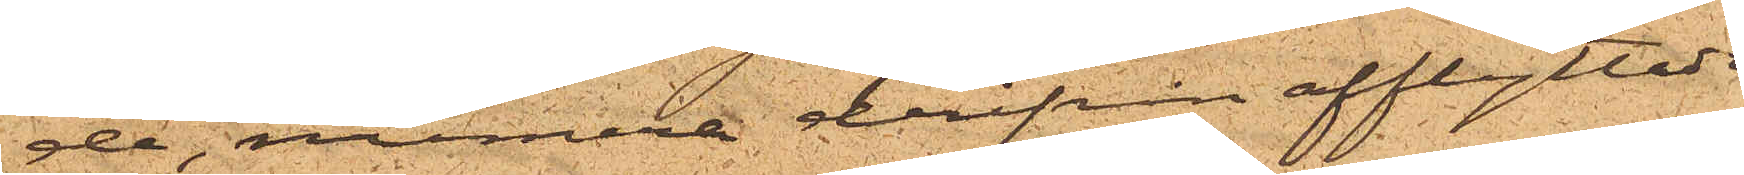de, numera derifrån afflyttade.
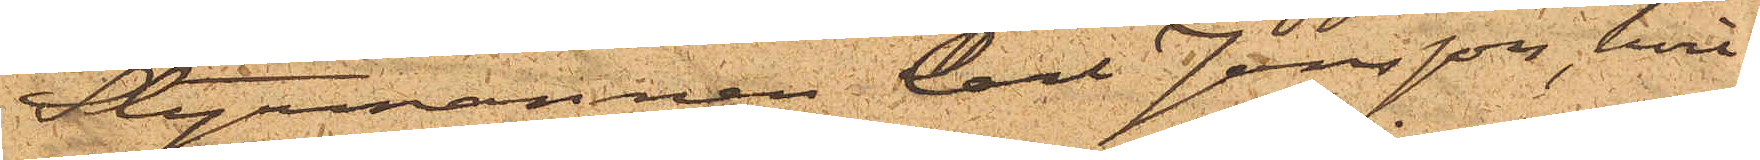Styrmannen Carl Jonsson, hvil¬
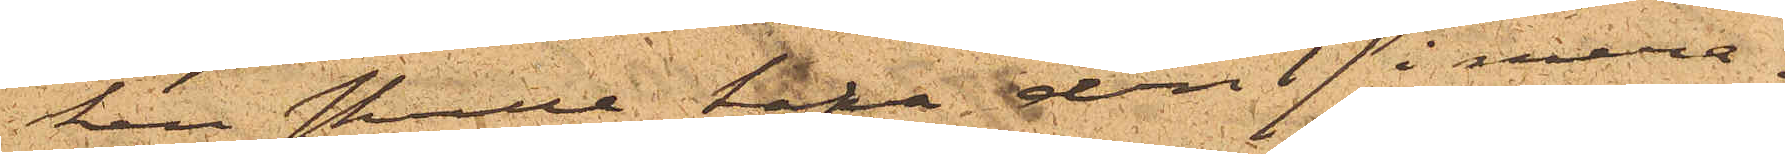ken skulle hafva den 17 i mera¬
